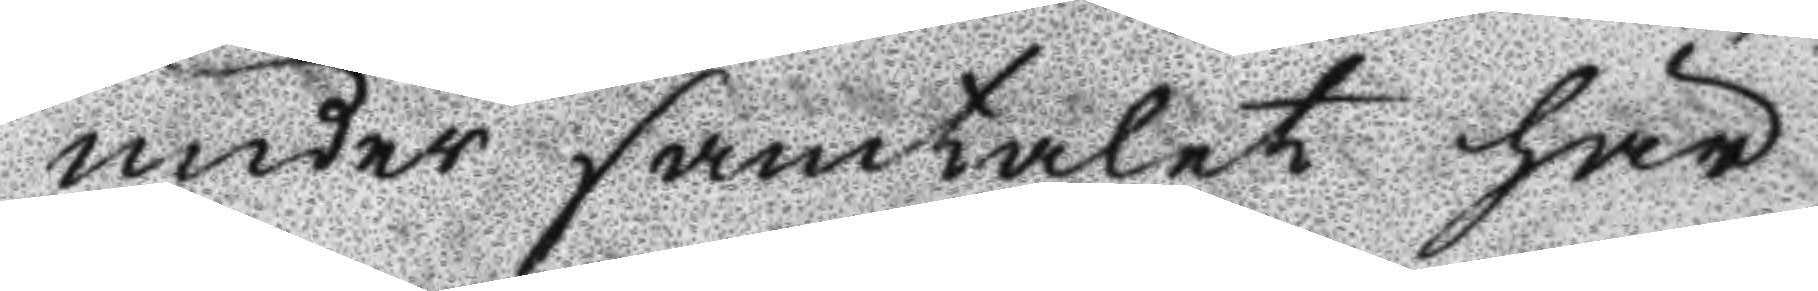under samtalet här¬
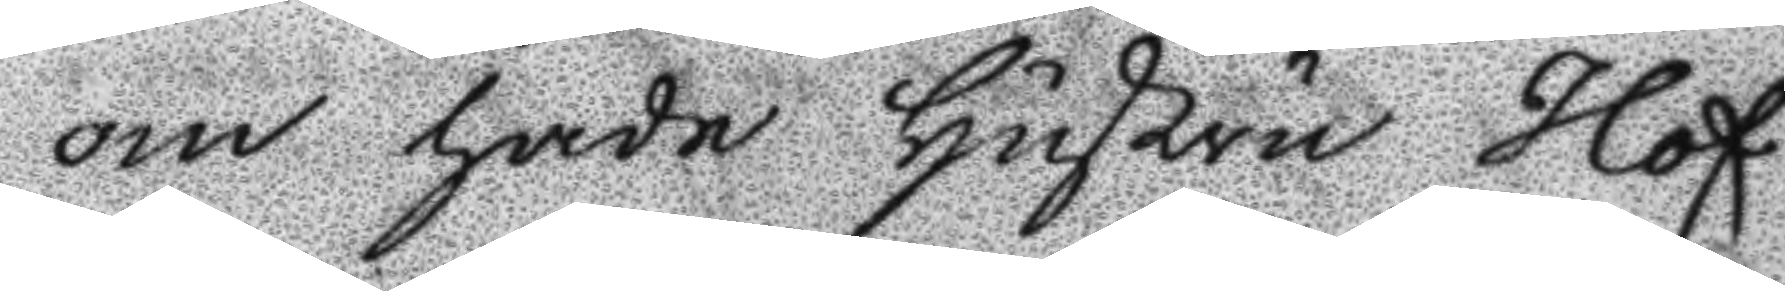om hade hustru Hof¬
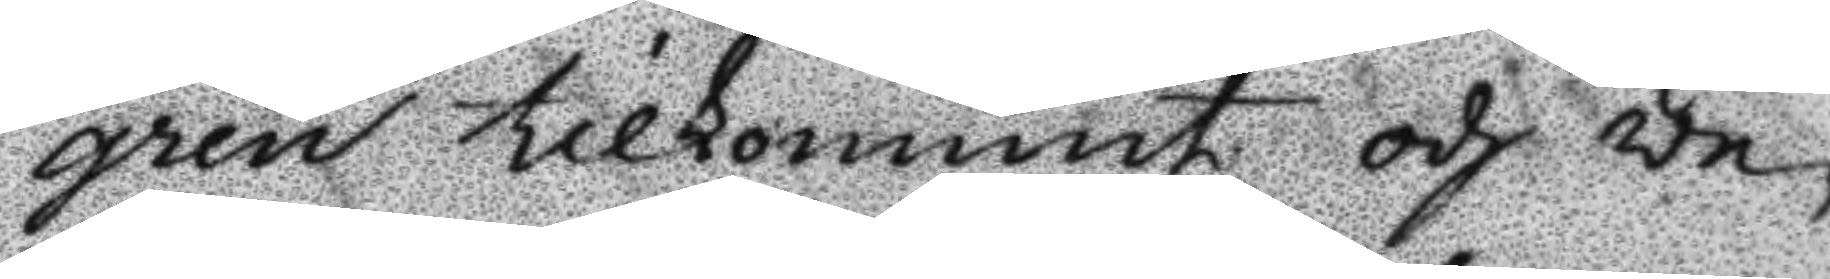gren tilkommit och ve¬
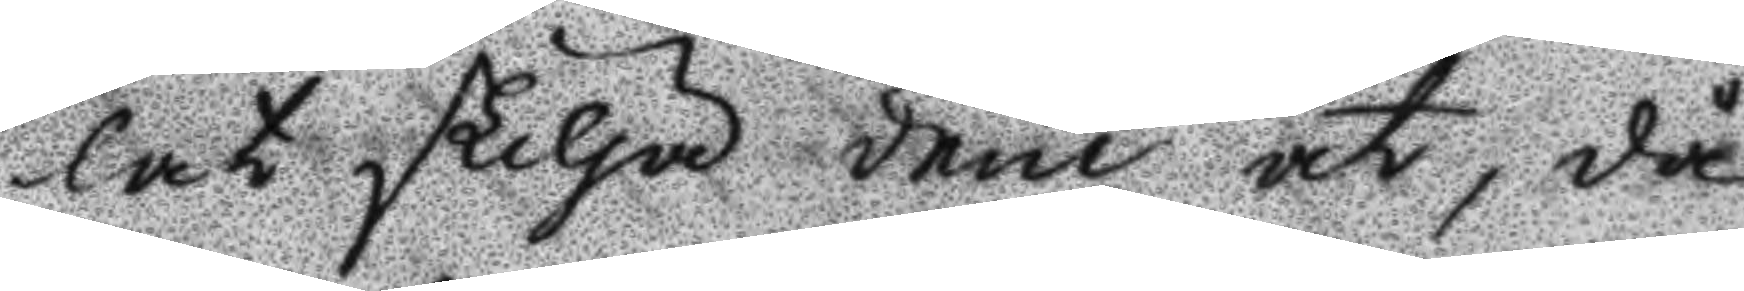lat skilja dem åt, då
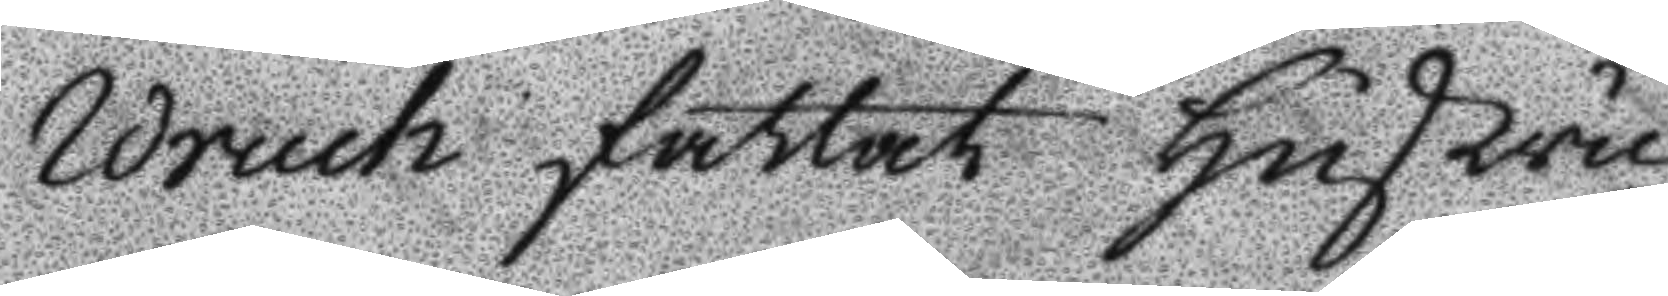Wruch fattat hustru
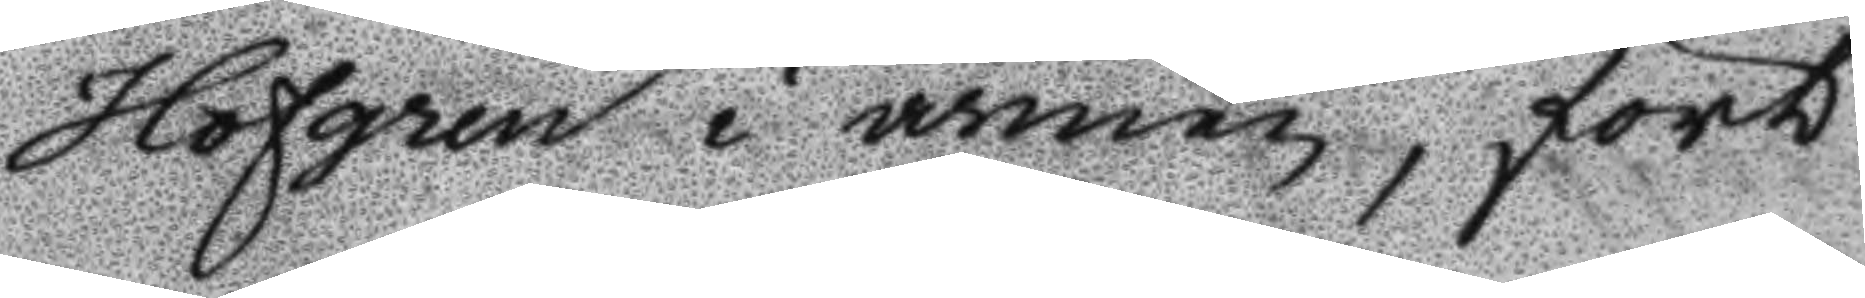Hofgren i armen, fört
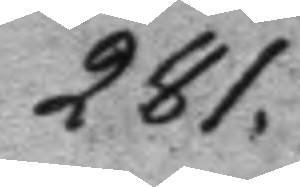281.
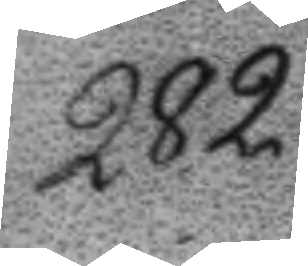282.
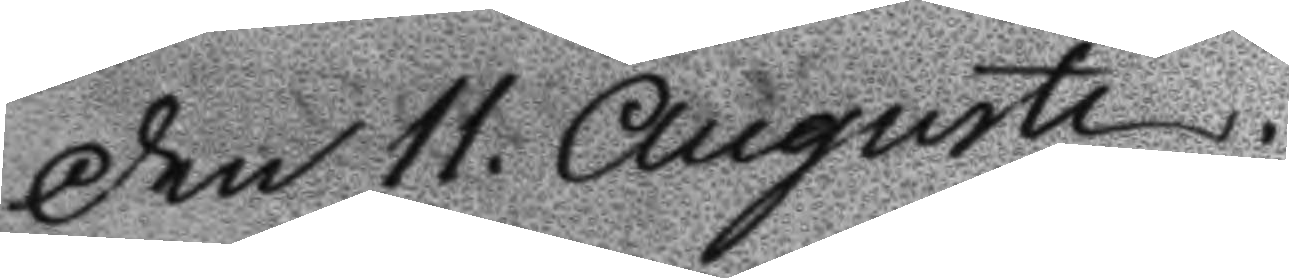Den 11. Augusti
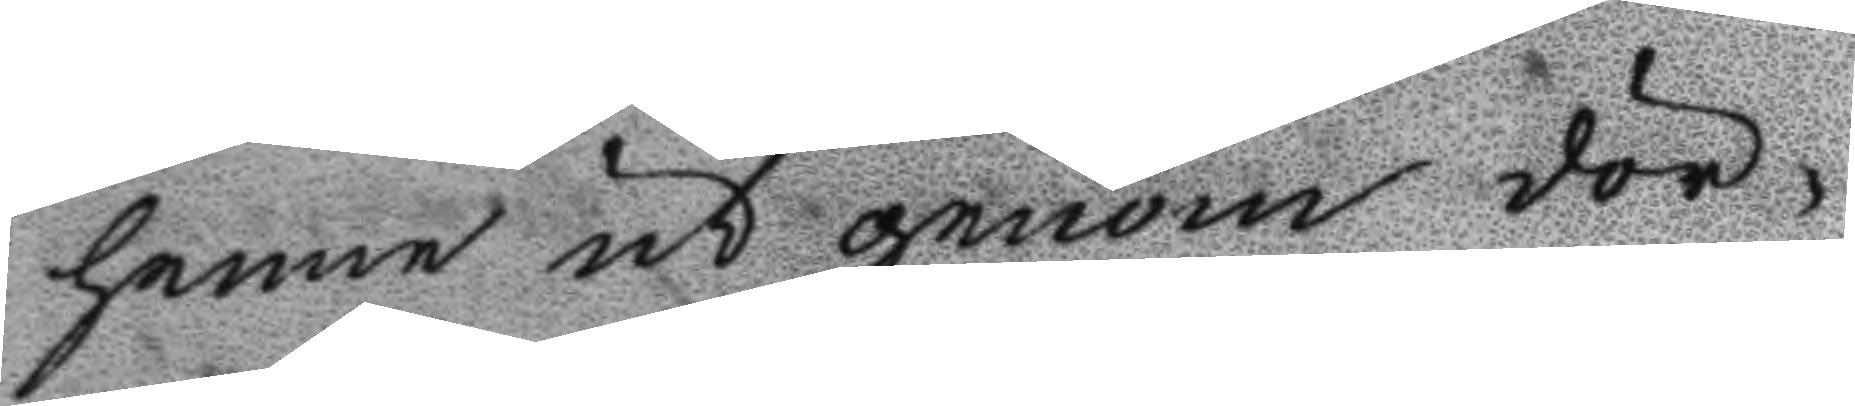henne ut genom dör¬
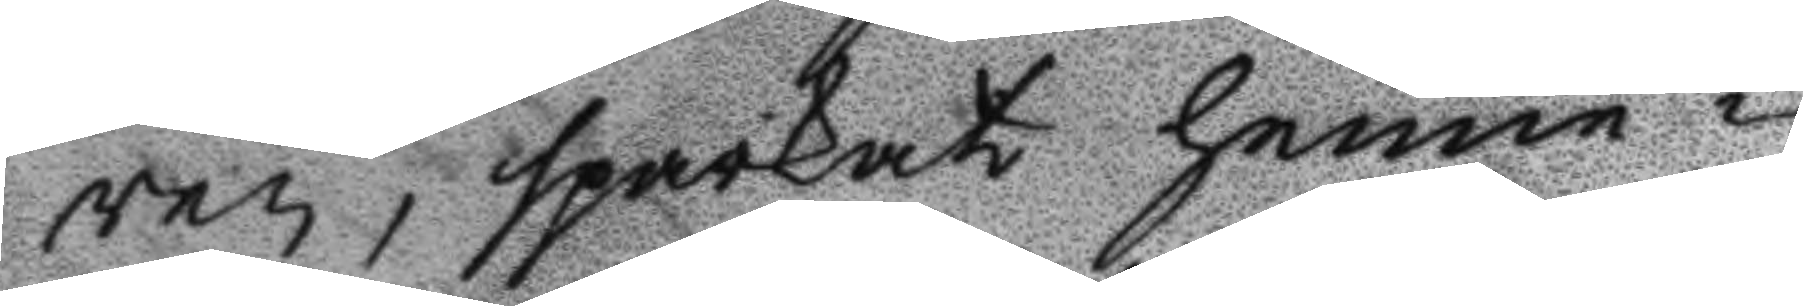ren, sparkat henne i
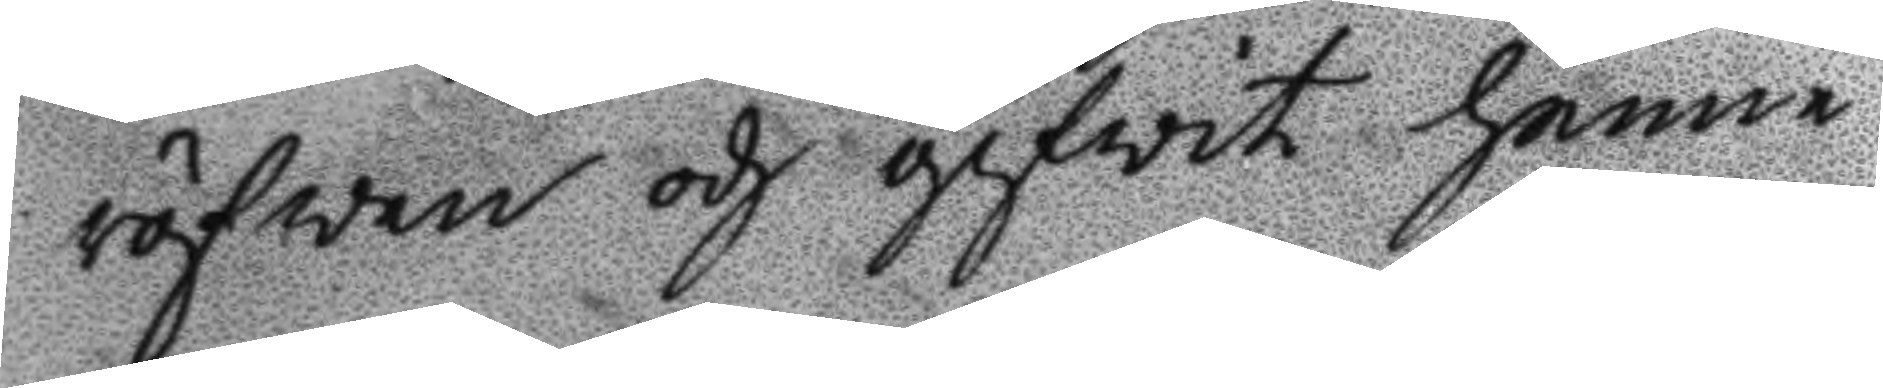röfwen och gifwit henne
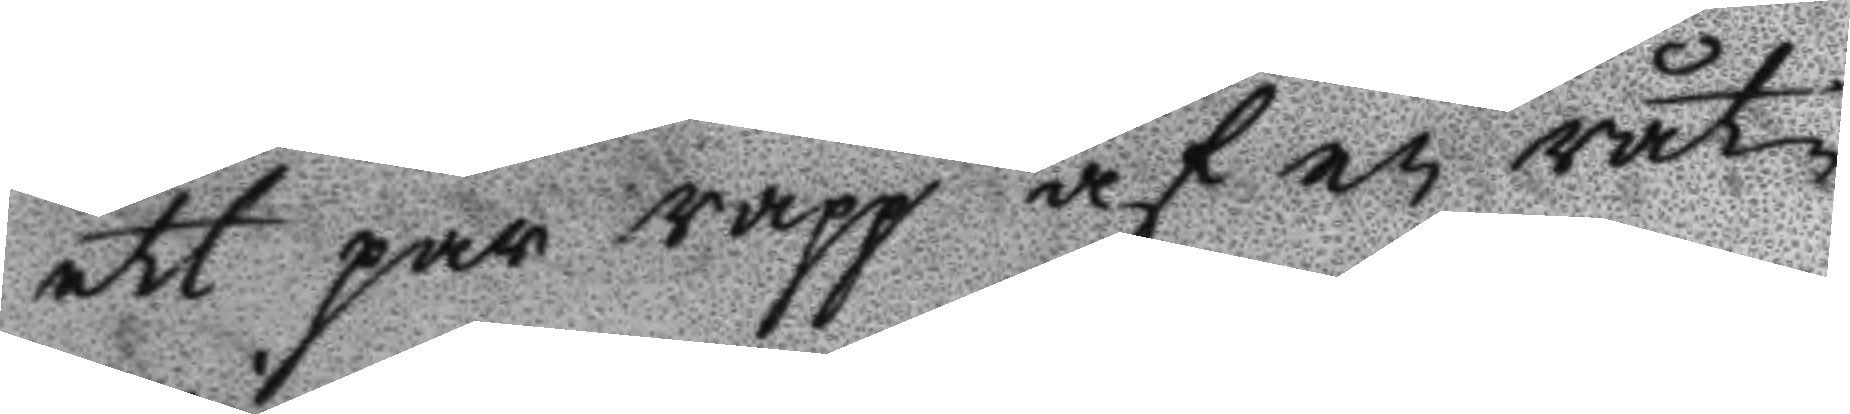ett par rapp af en råt¬
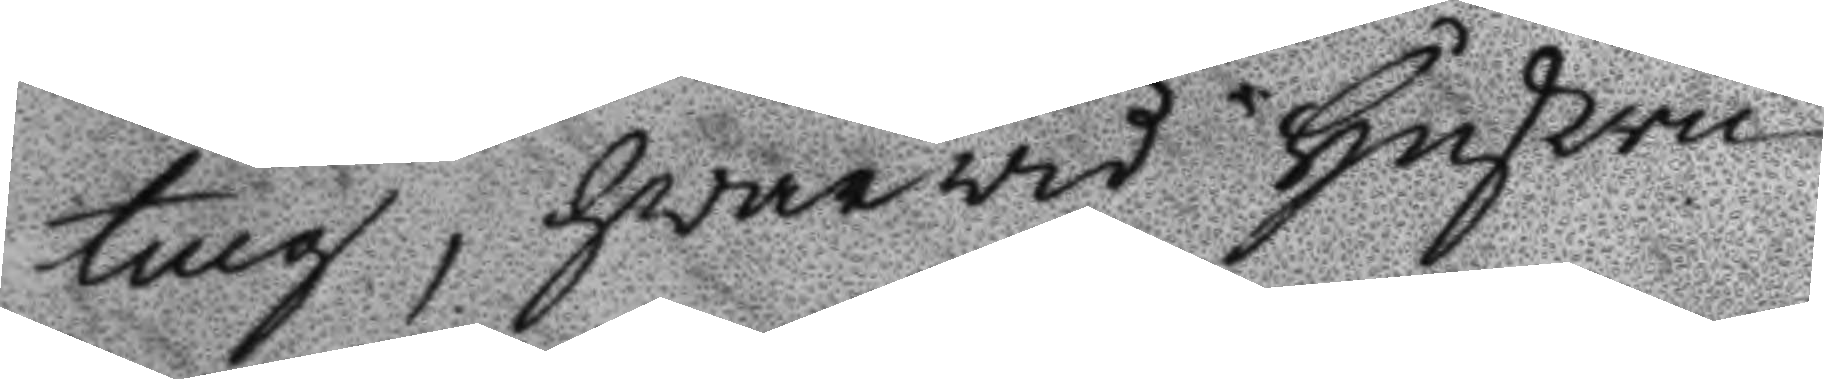ting, hwarwid hustru
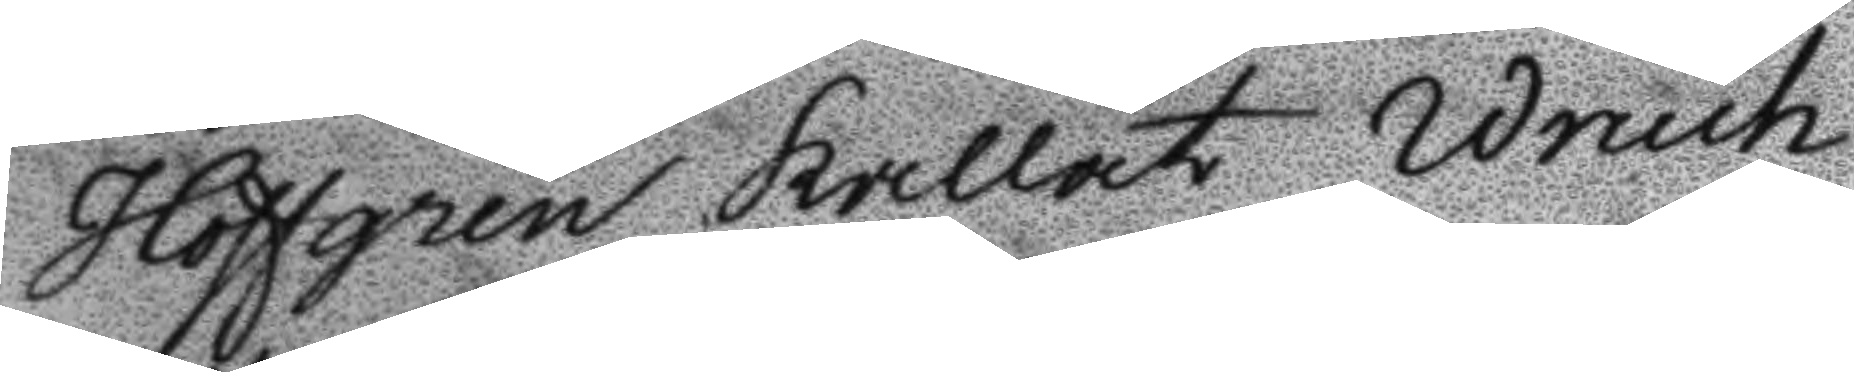Hofgren kallat Wruch
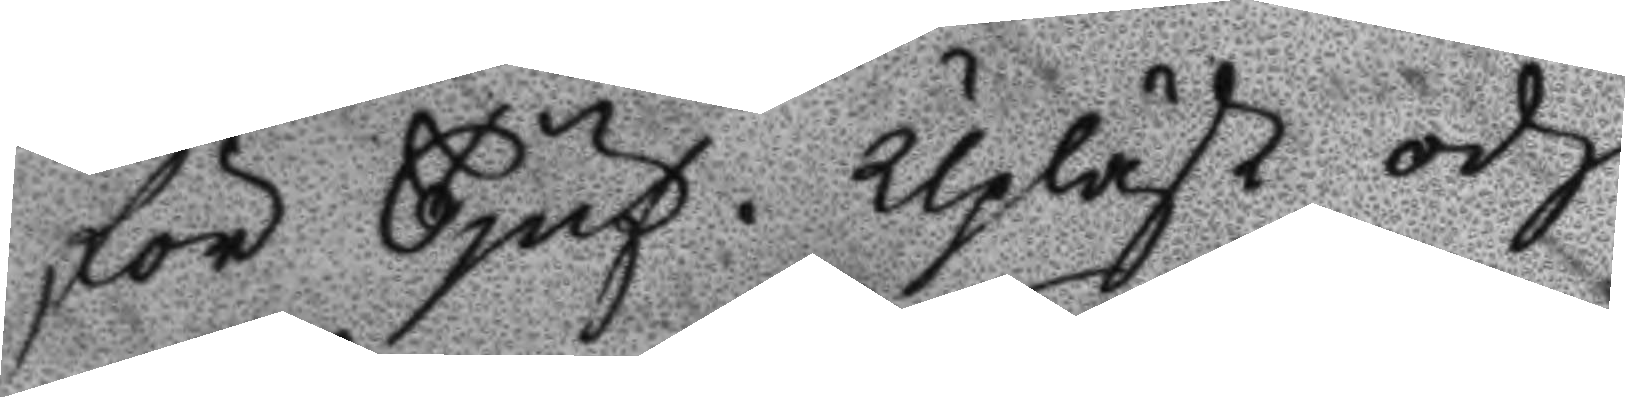för Tjuf. Upläst och
